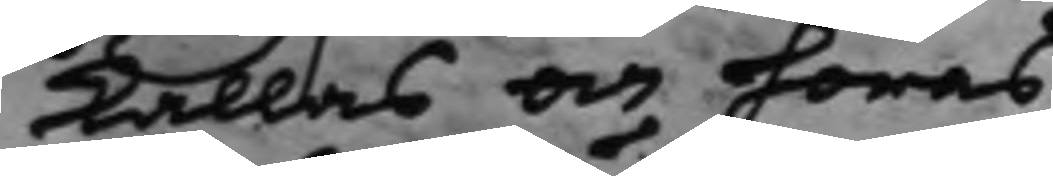kallas och höras.
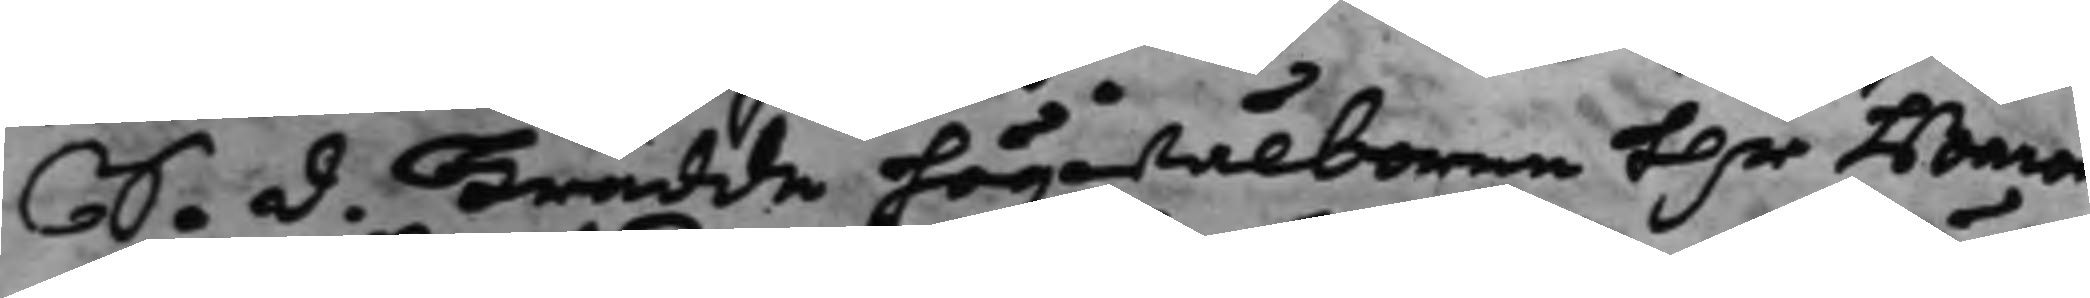S. d. Trädde Högwälborne H.r Baron
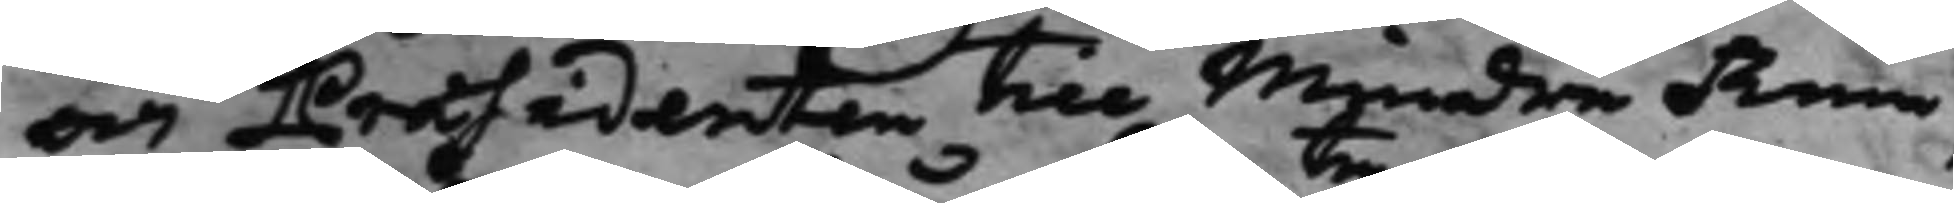och Præsidenten till Mindre Rum¬
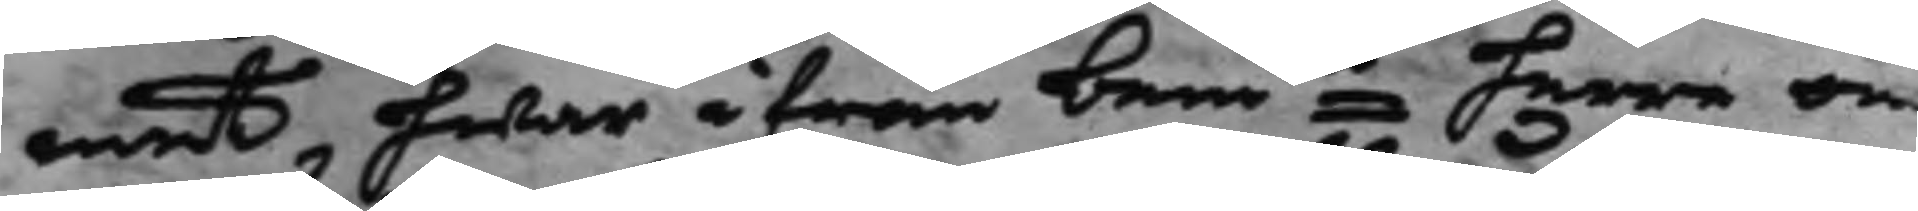met, hwar ifrån bemte herre om
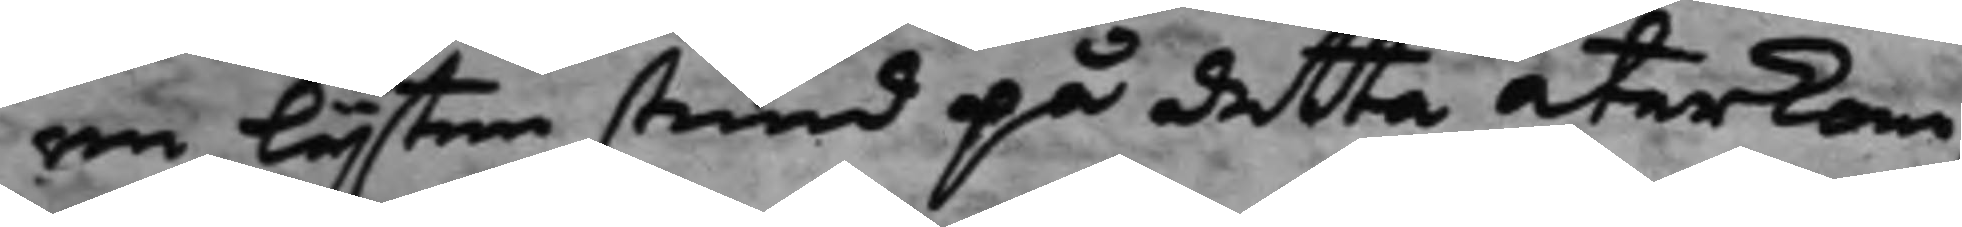en lijten stund på detta återkom.
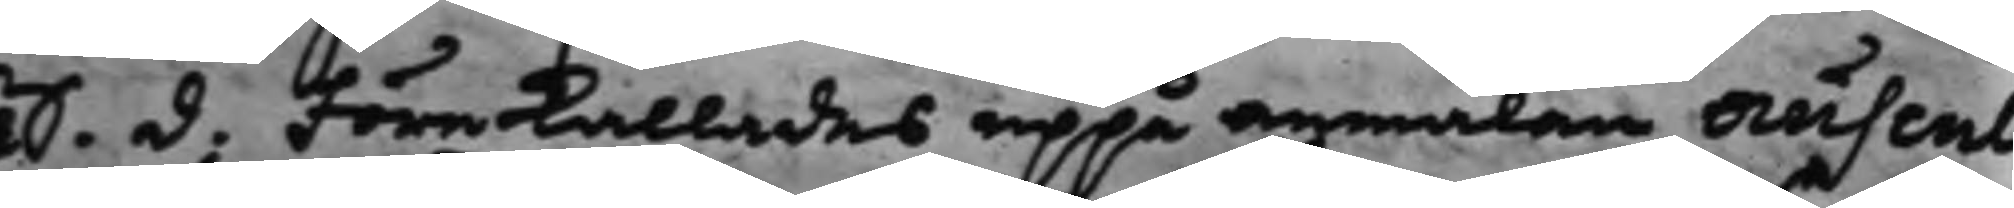S.d. Förekallades uppå anmälan auscul¬
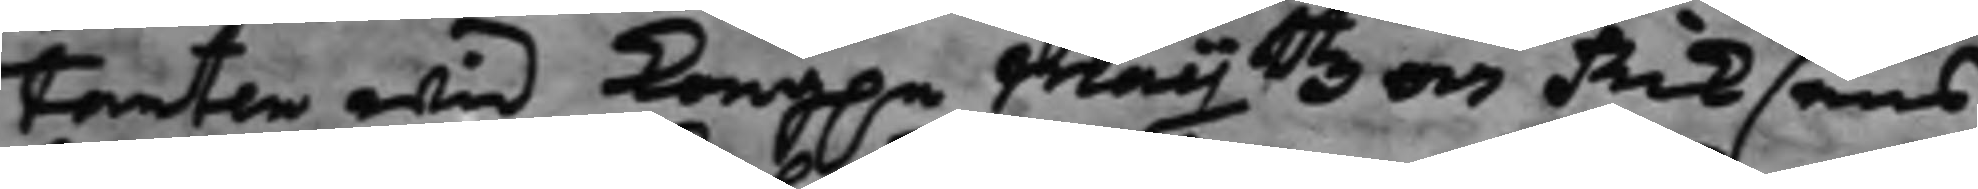tanten wid Kong.e Maijttz och Riksens
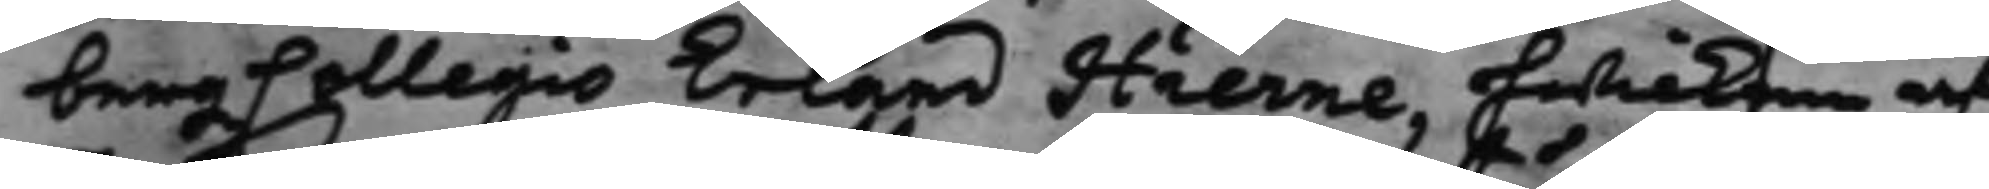bergzCollegio Erland Hierne, hwilken af
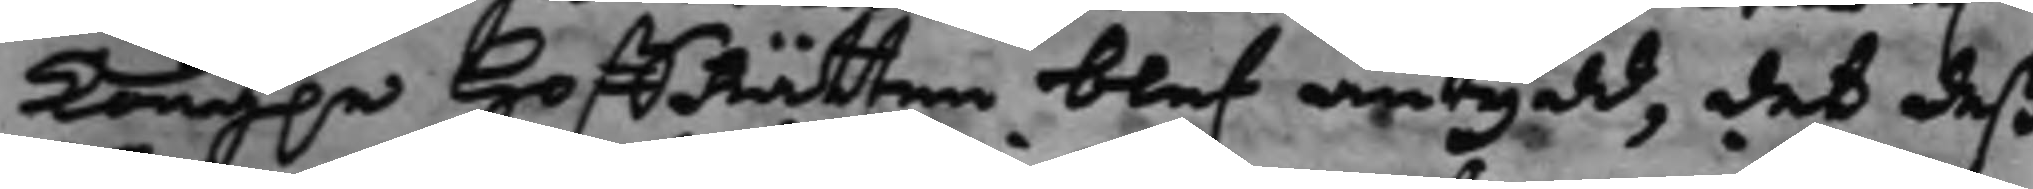Kong.e HoffRätten blef antydd, det deß
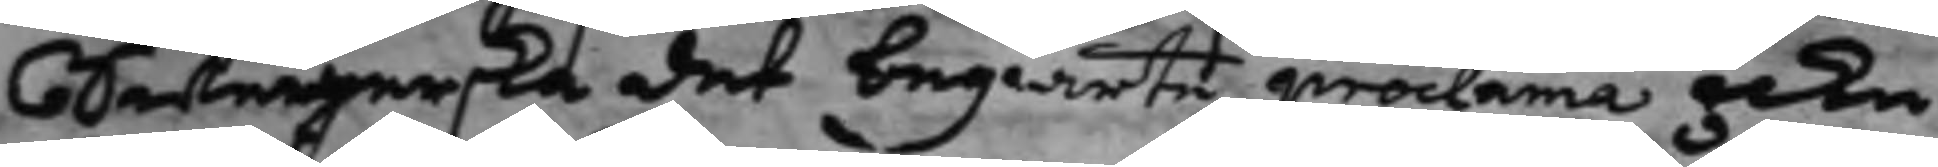Swegerska det begiärte proclama icke
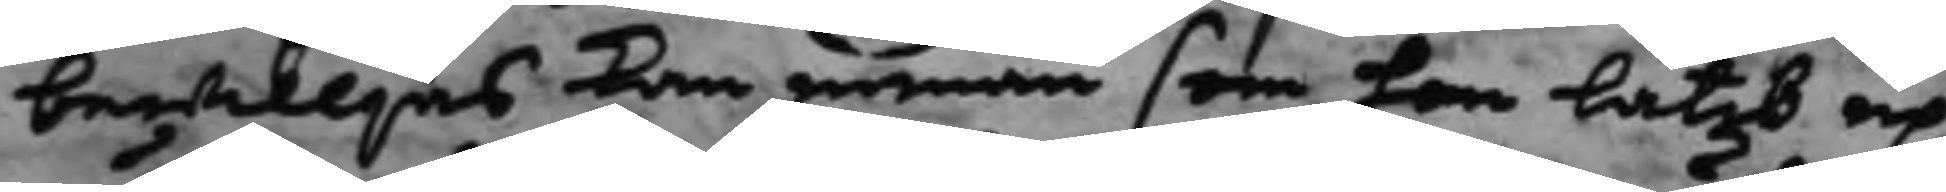bewiljas kan innan som han låtit up¬
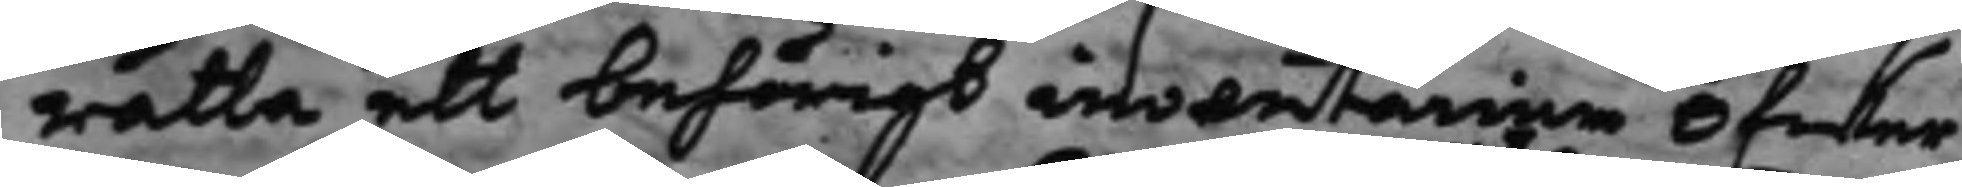rätta ett behörigt inventarium öfwer
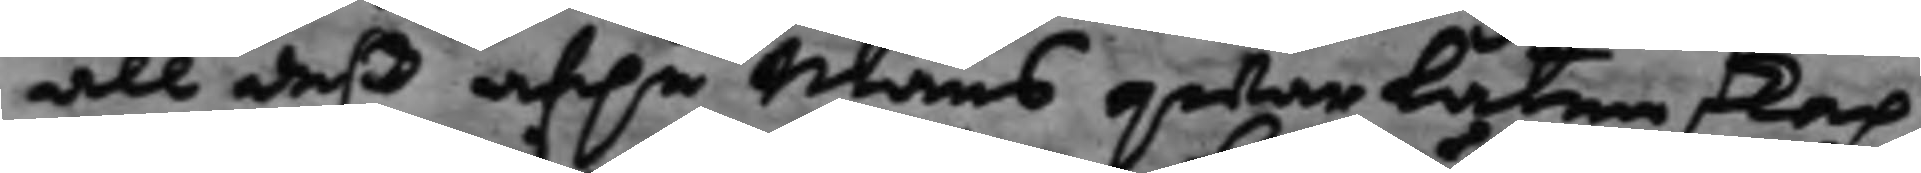all deß af.e Mans qwarlåtenskap,
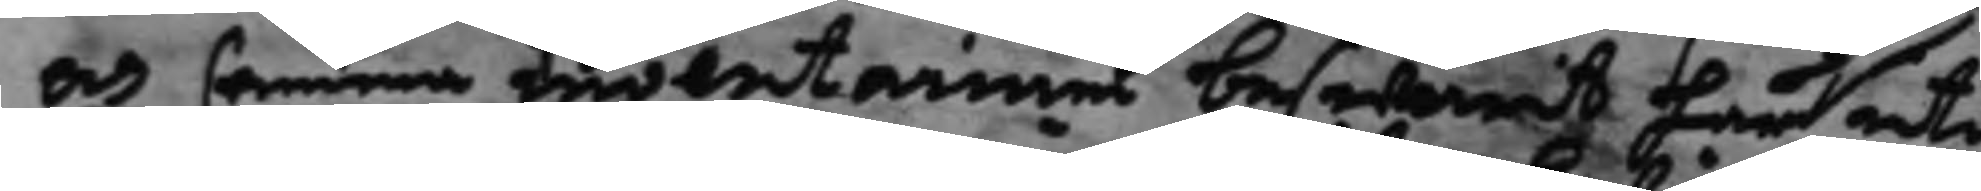och samma inventarium beswurit här uti
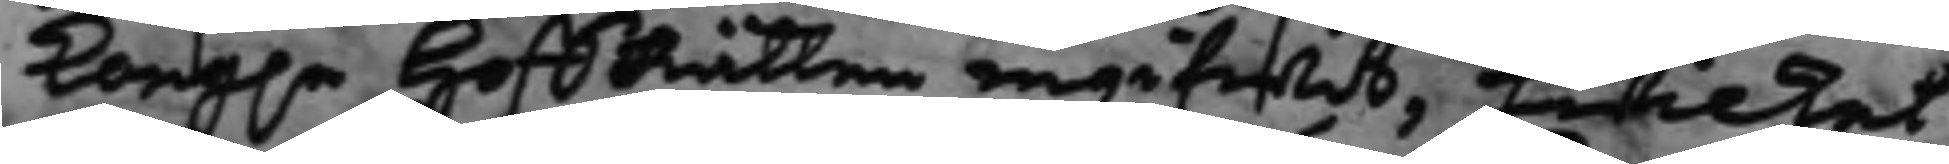Kong.e HoffRätten ingifwit, hwilket
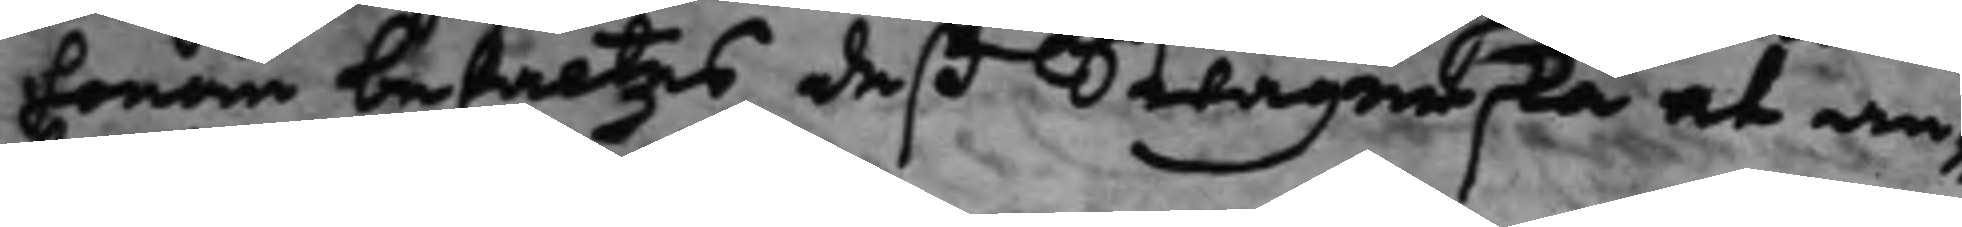honom befaltes deß Swågerska at an¬
